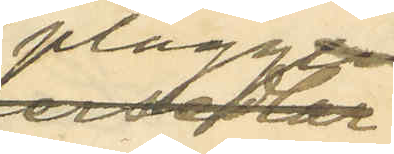plagg
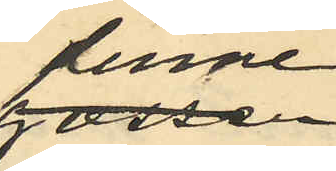denne
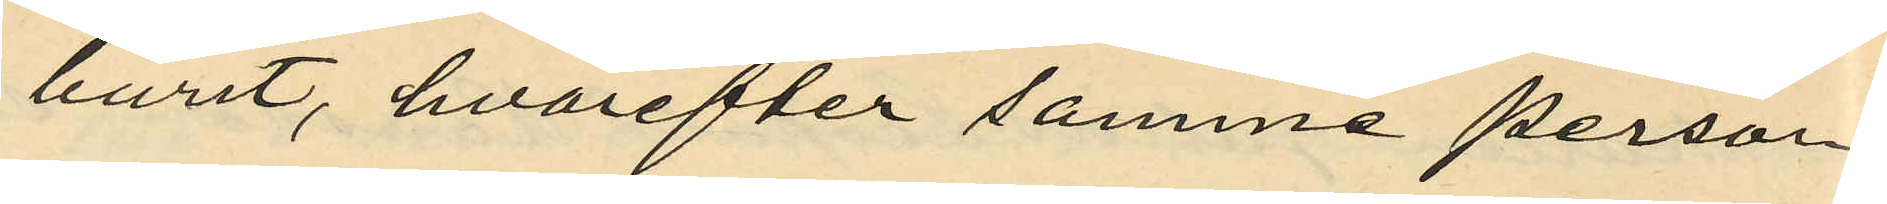burit, hvarefter samme person
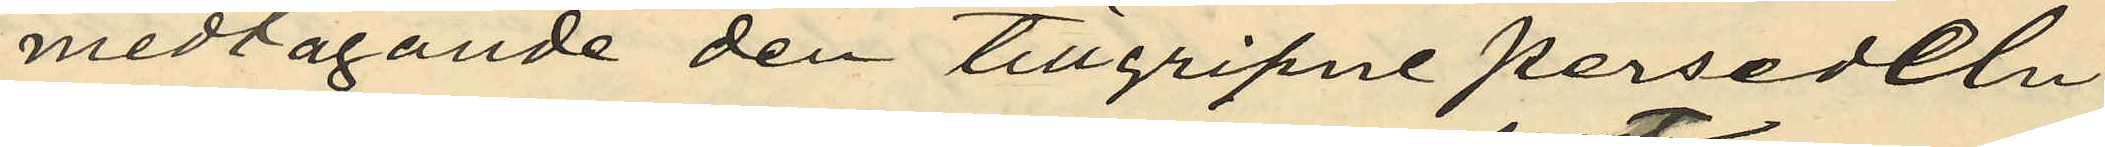medtagande den tillgripne persedeln
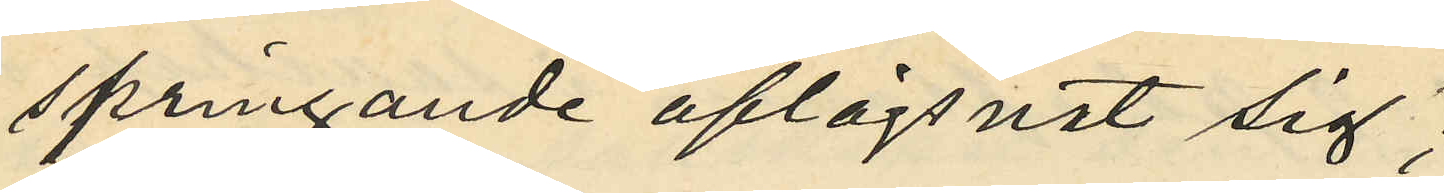springande aflägsnat sig;
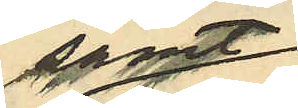samt
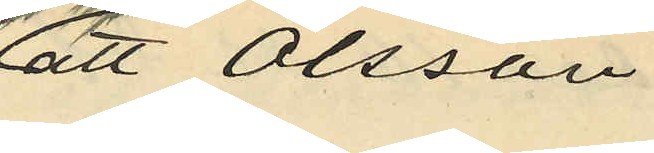att Olsson
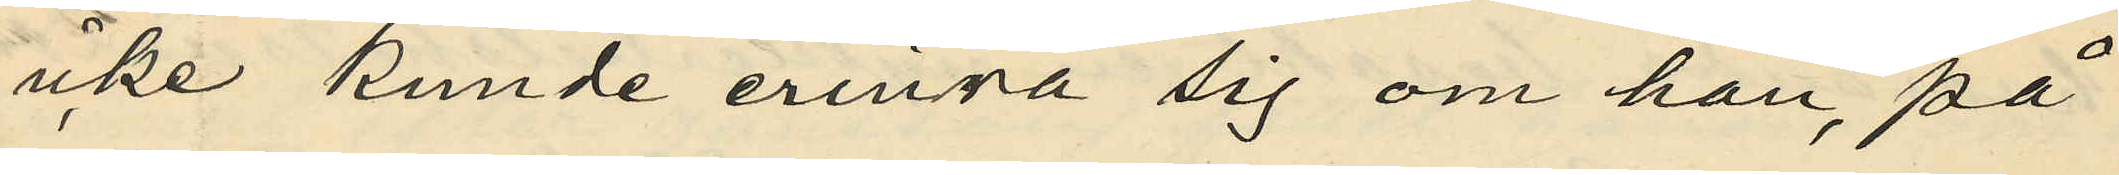icke kunde erinra sig om han, på
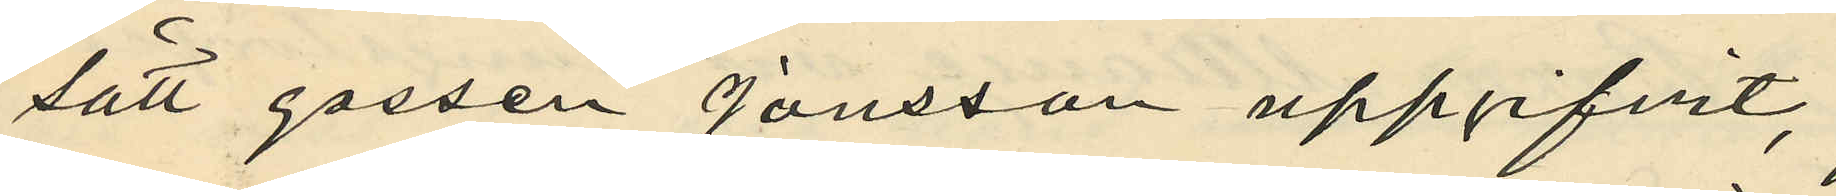sätt gossen Jonsson uppgifvit,
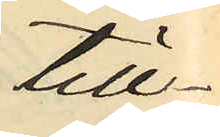till¬
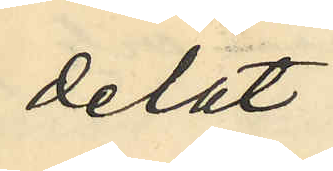delat
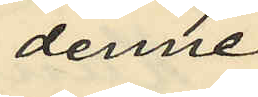denne
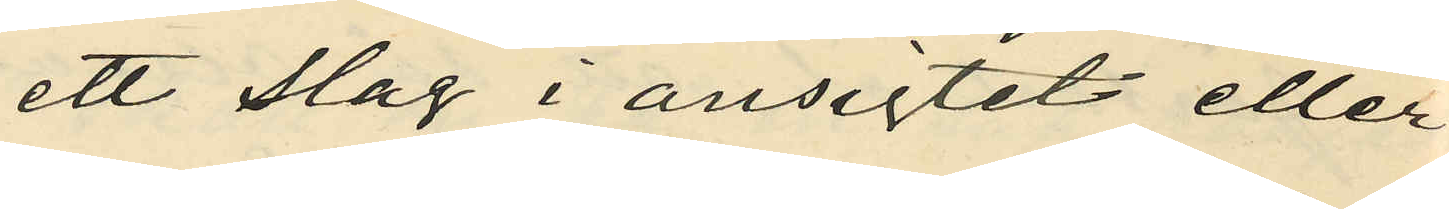ett slag i ansiktet eller
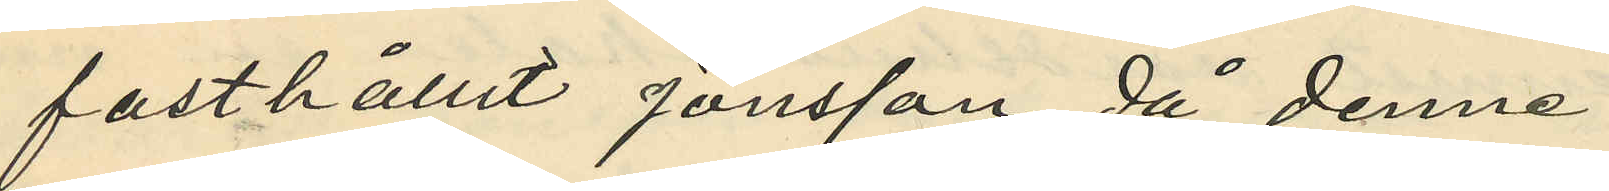fasthållit Jonsson då denne
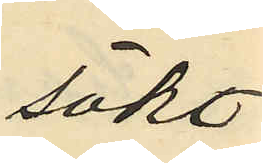sökt
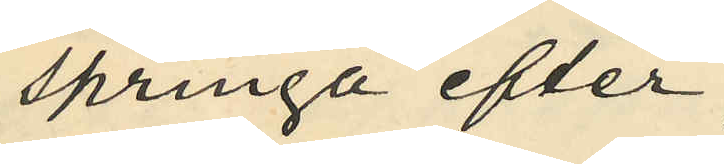springa efter
